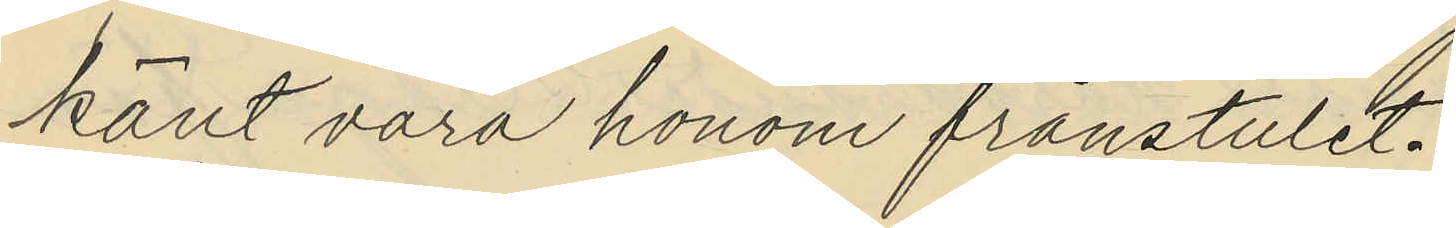känt vara honom frånstulet
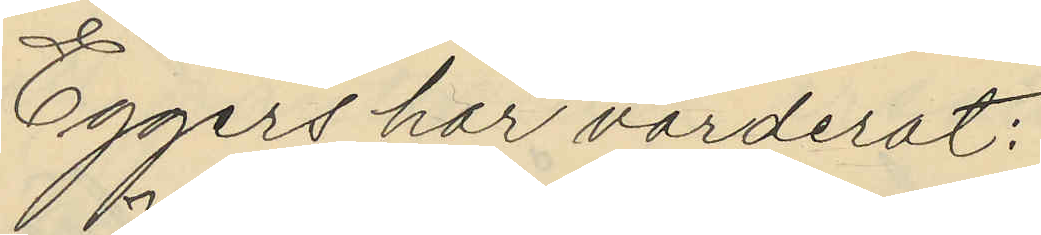Eggers har värderat:
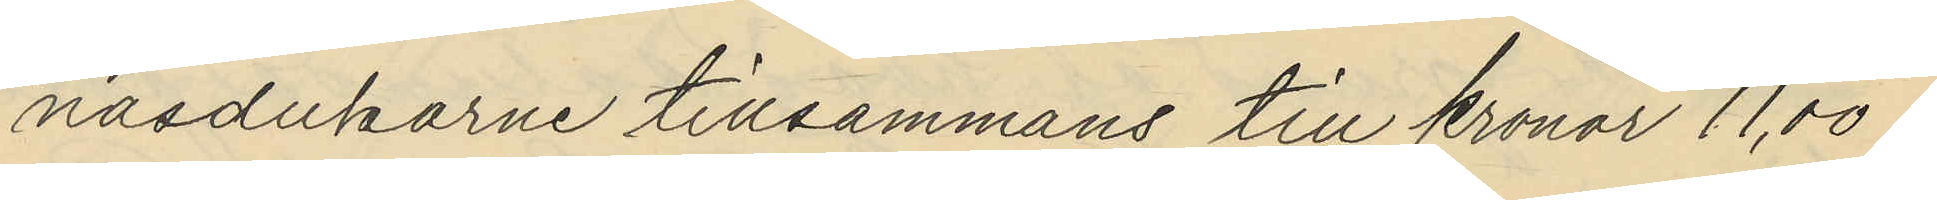näsdukarne tillsammans till kronor 11,50
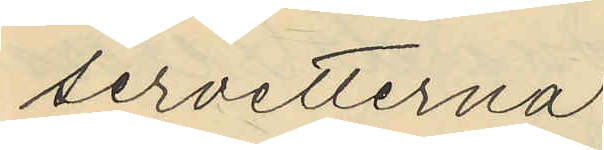servetterna
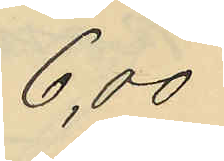6,00
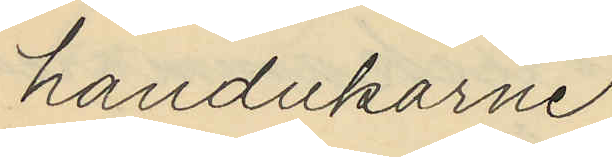handukarne
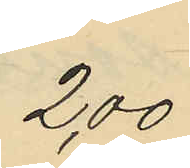2,00
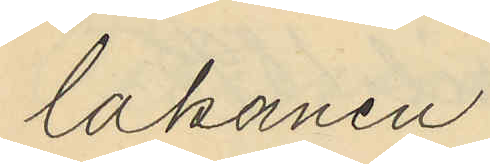lakanen
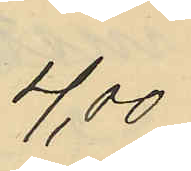4,00
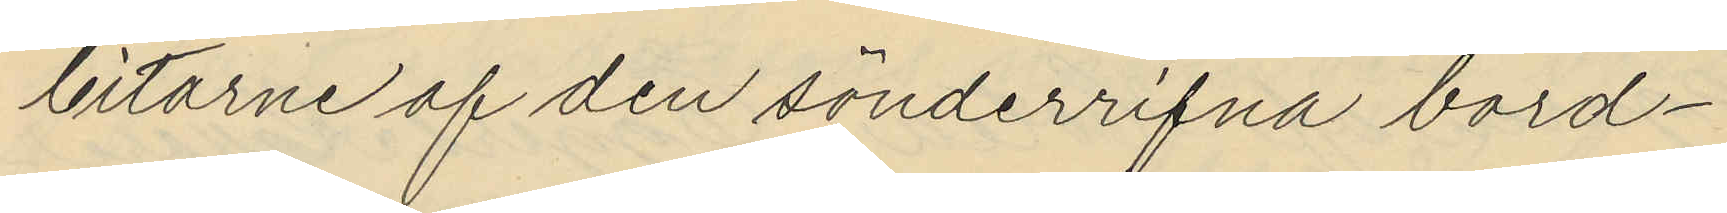bitarne af den sönderrifna bord¬
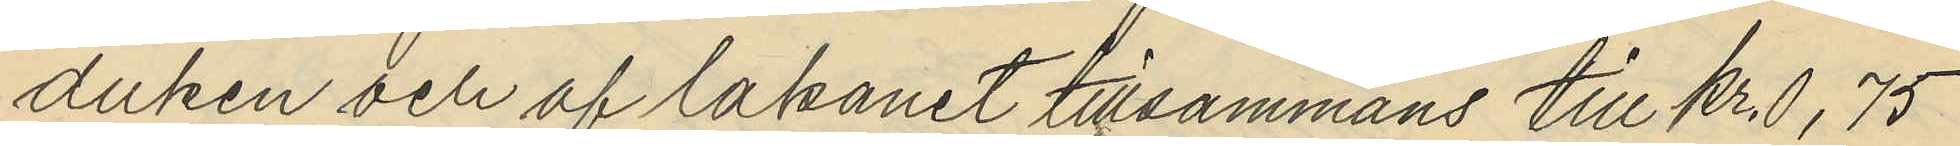duken och af lakanet tillsammans till kr. 0, 75
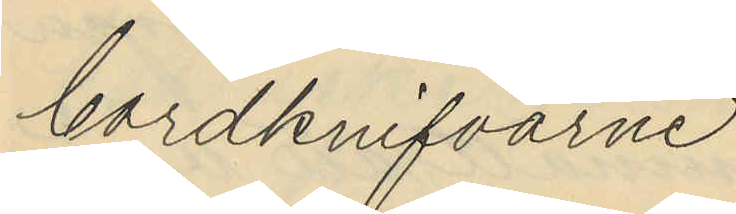bordknifvarne
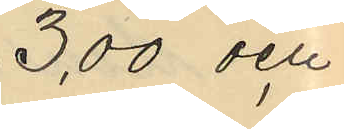3,00 och
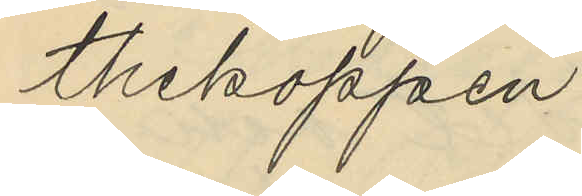thekoppen
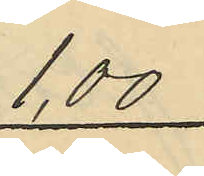1,00
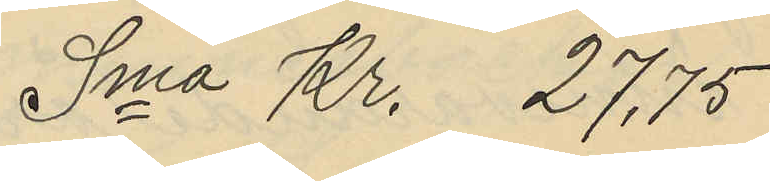Sma Kr. 27,75
